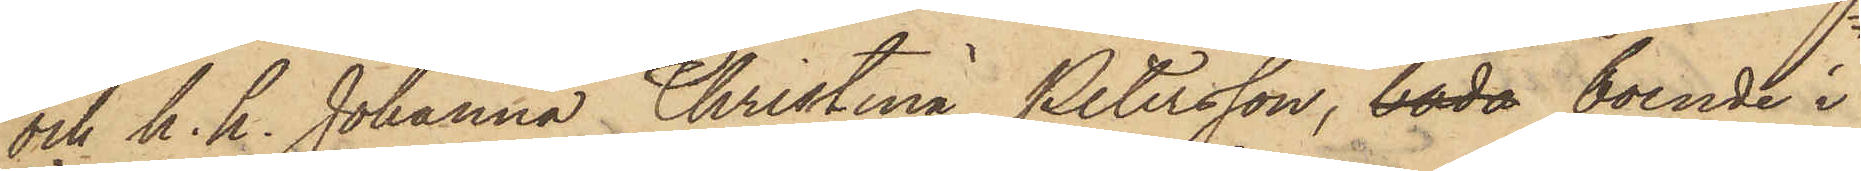och h. h. Johanna Christina Petersson, båda boende i
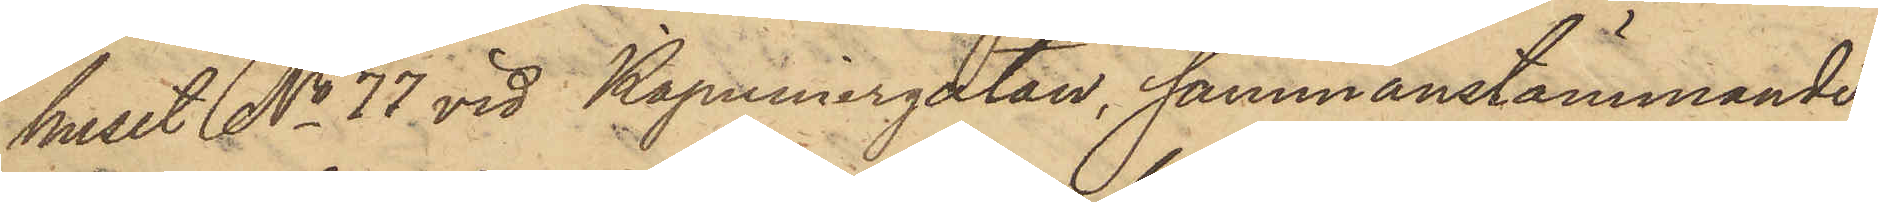huset No 77 vid Kapuniergatan, sammanstämmande
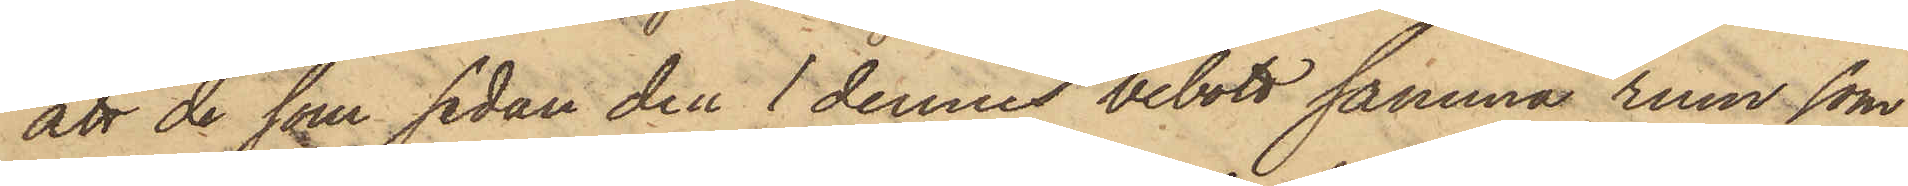att de som sedan den 1 dennes bebott samma rum, som
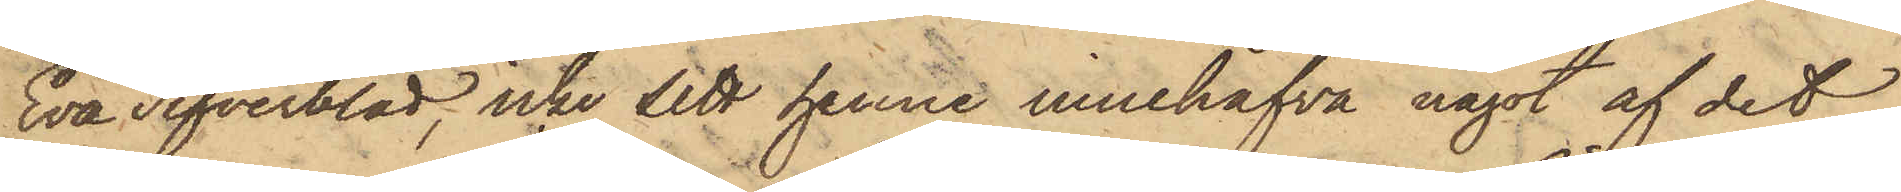Eva Tifverblad, icke sett henne innehafva något af det
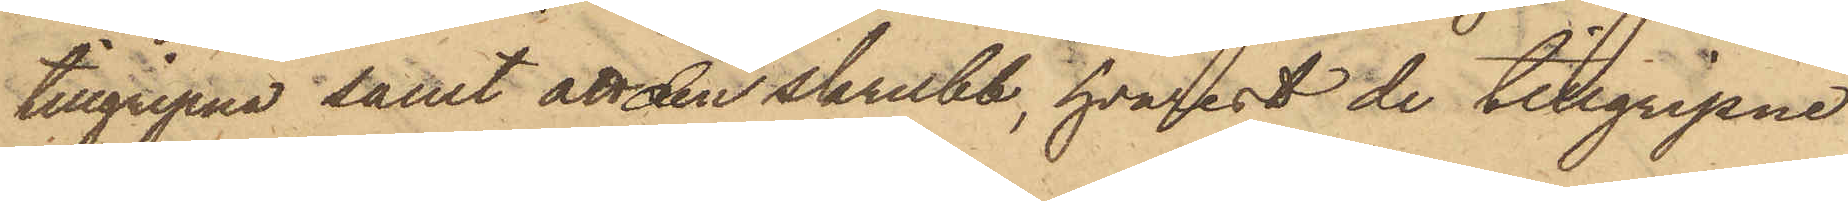tillgripne samt att den skrubb, hvarest de tillgripne
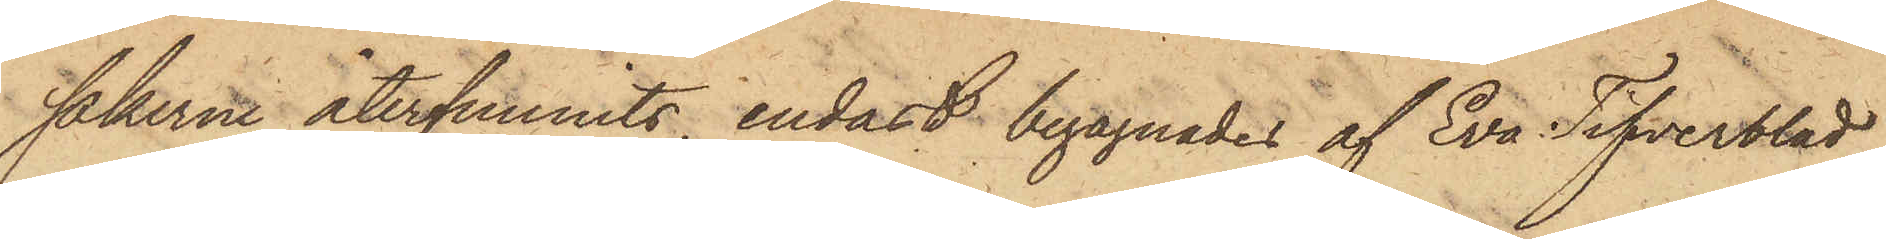sakerne återfunnits, endast begagnades af Eva Tifverblad,
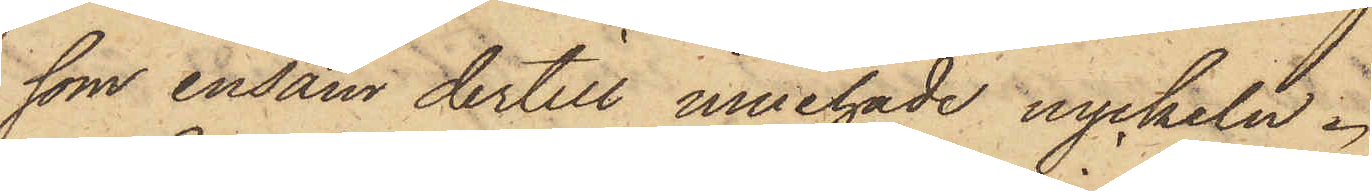som ensam dertill innehade nyckeln.
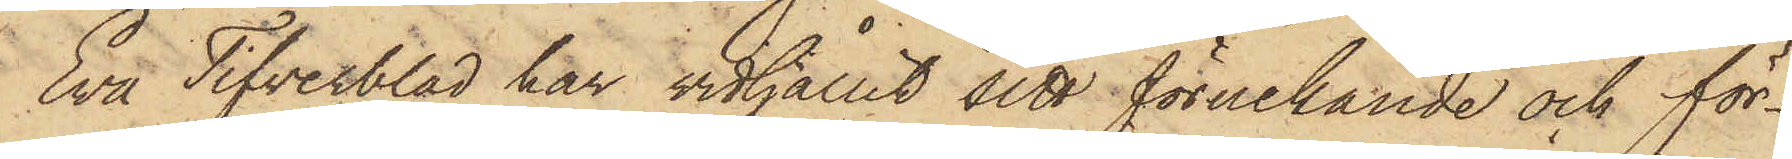Evå Tifverblad har vidhållit sitt förnekande och för¬
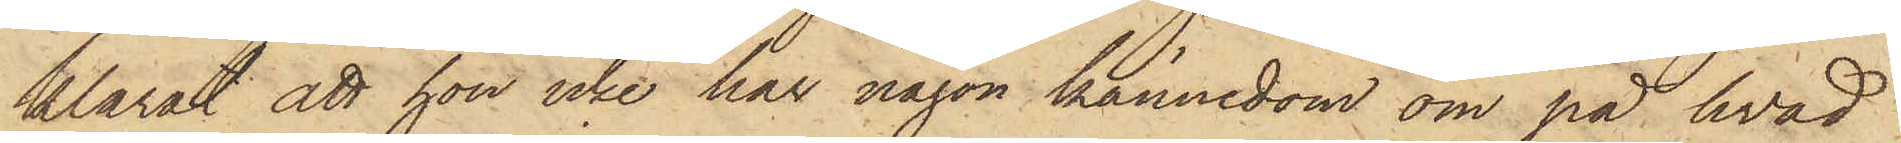klarat att hon icke har någon kännedom om på hvad
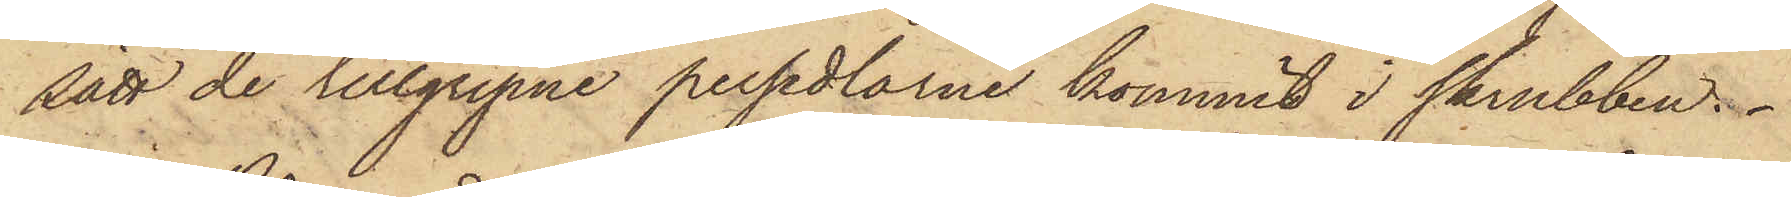sätt de tillgripne persedlarne kommit i skrubben.
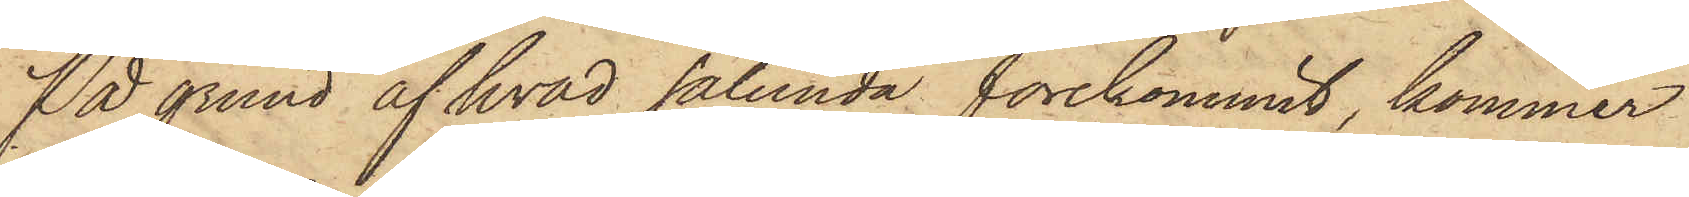På grund af hvad sålunda förekommit, kommer
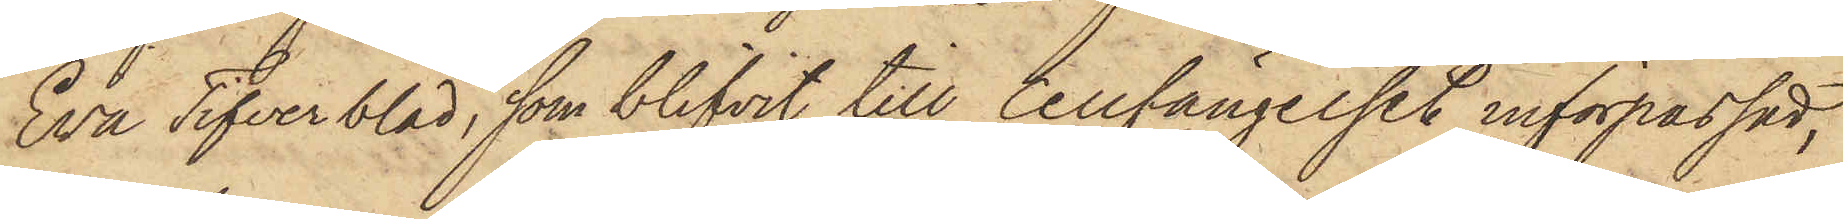Eva Tifverblad, som blifvit till Cellfängelset införpassad,
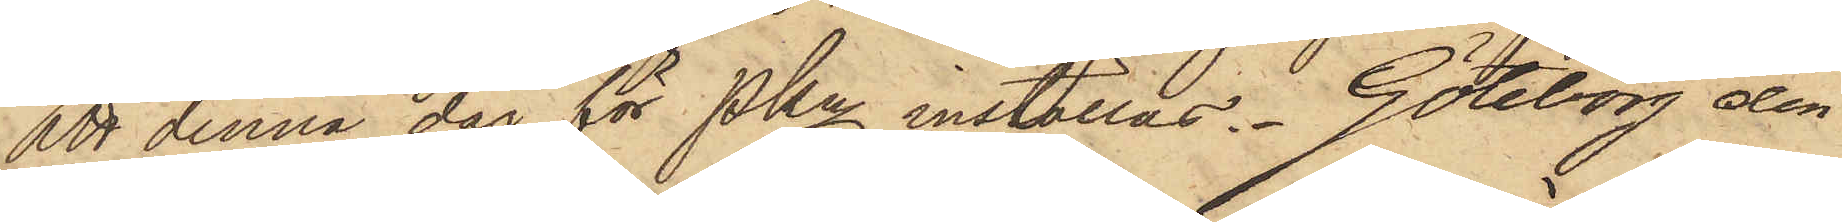att denna dag för PKn inställas. Göteborg den
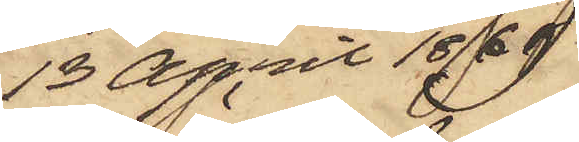13 April 1869.
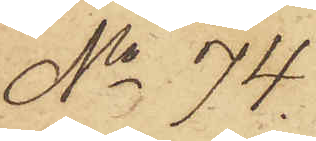No 74.
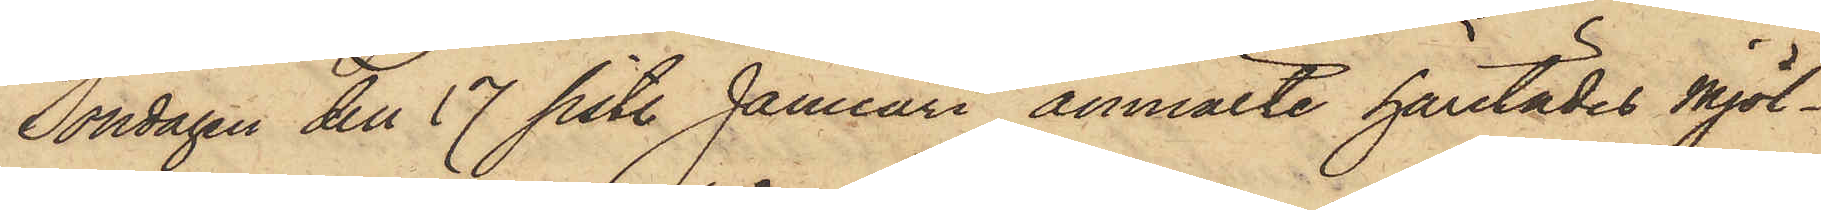Söndagen den 17 sist. Januari anmälte härstädes Mjöl¬
